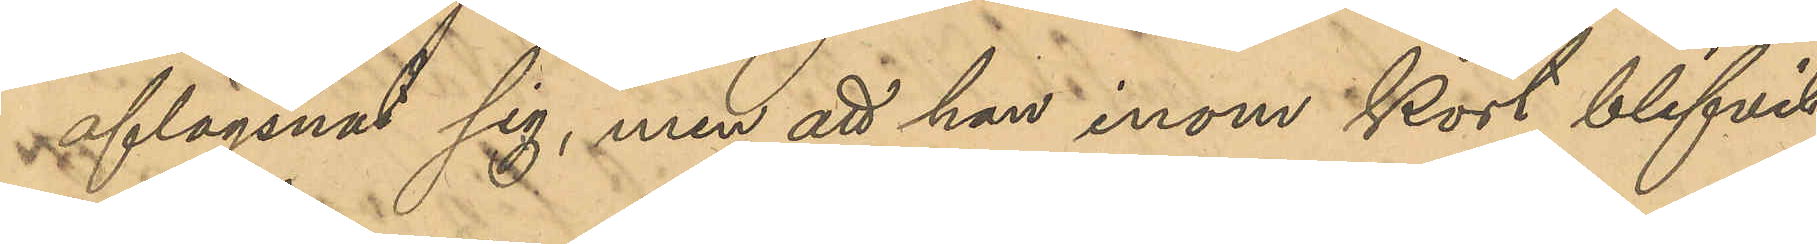aflägsnat sig, men att han inom kort blifvit
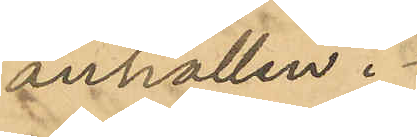anhållen.
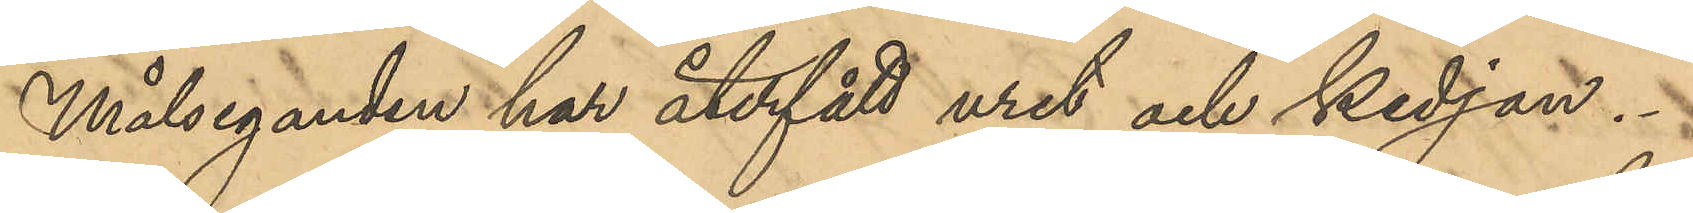Målseganden har återfått uret och kedjan.
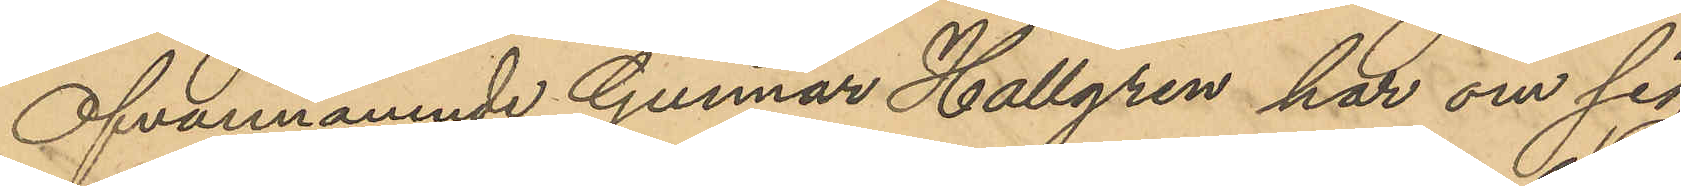Ofvannämnde Gunnar Hallgren har om sig
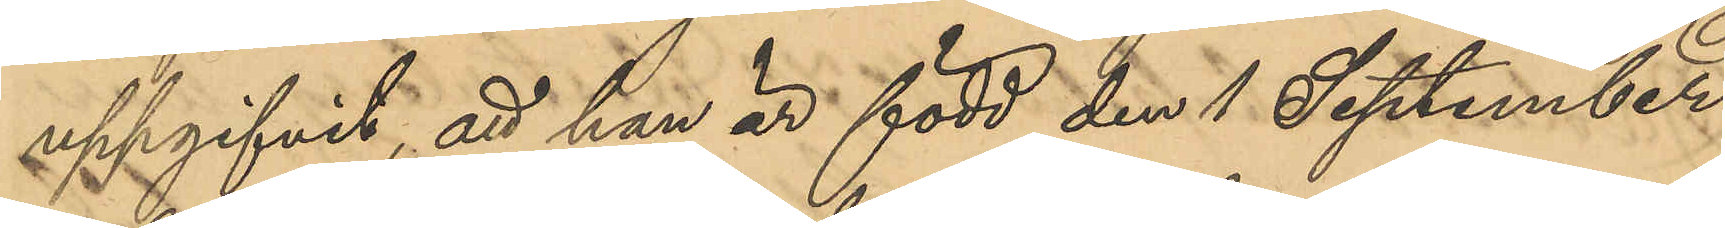uppgifvit att han är född den 1 September
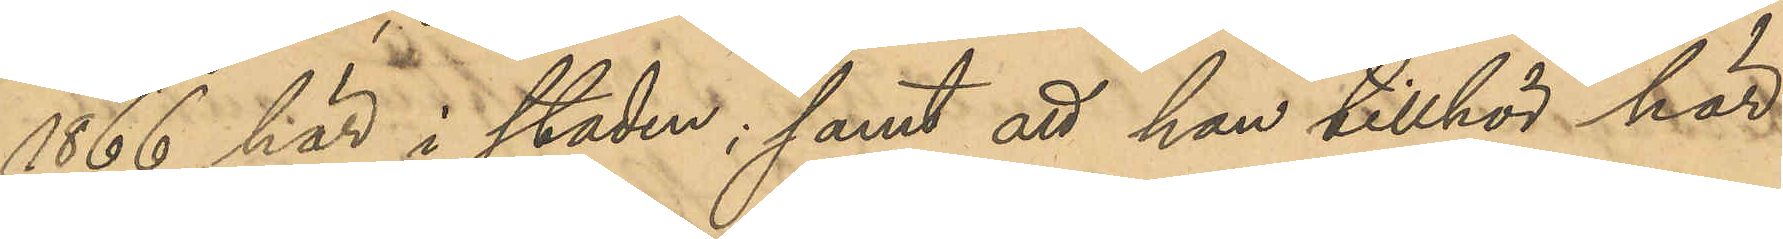1866 här i staden; samt att han tillhör här¬
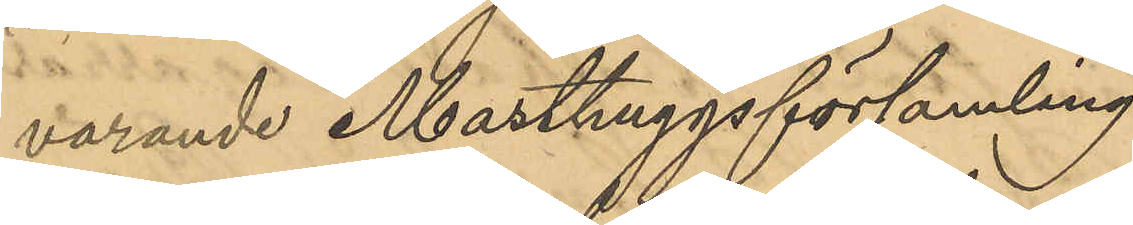varande Masthuggsförsamling.
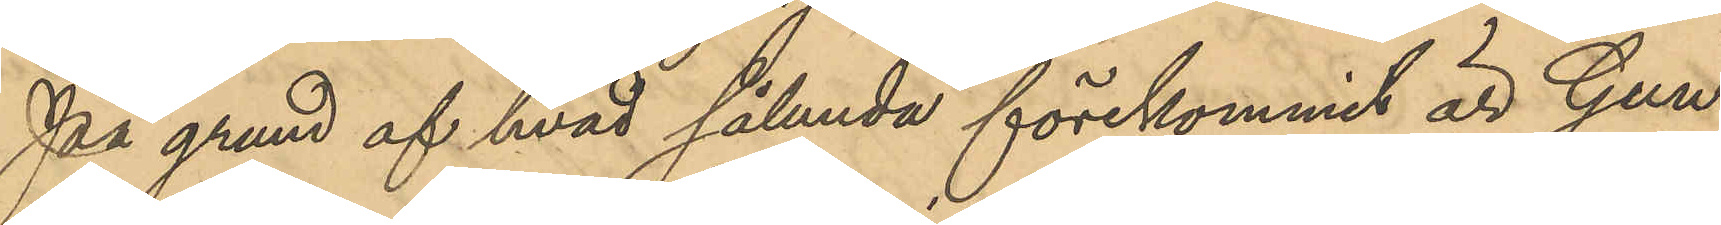På grund af hvad sålunda förekommit är Gun¬
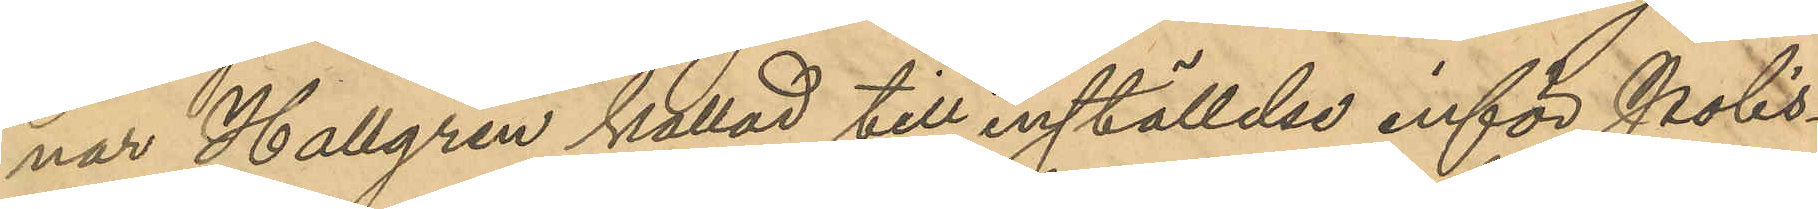nar Hallgren kallad till inställelse inför Polis¬
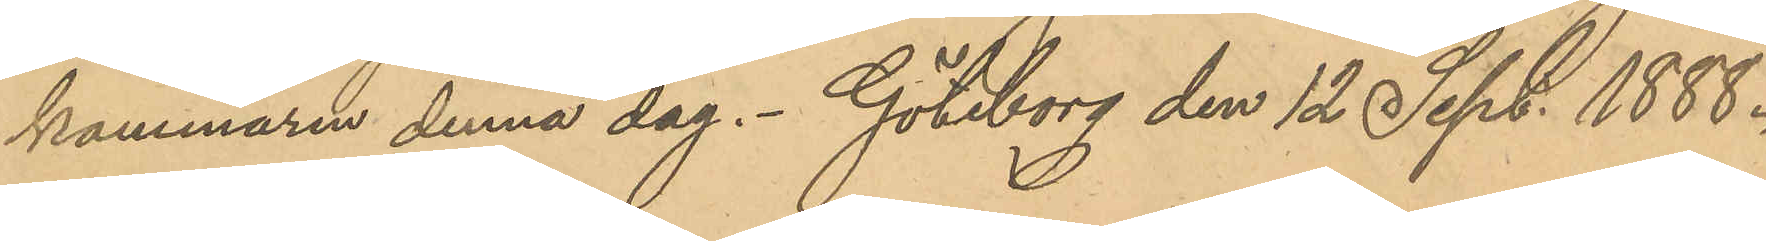kammaren denna dag. Göteborg den 12 Sept. 1888.
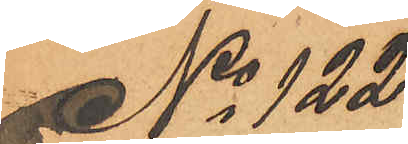No 122
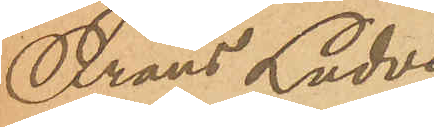Frans Ludvig
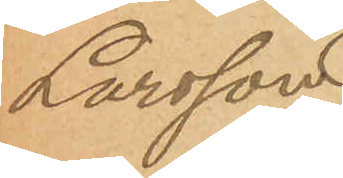Larsson.
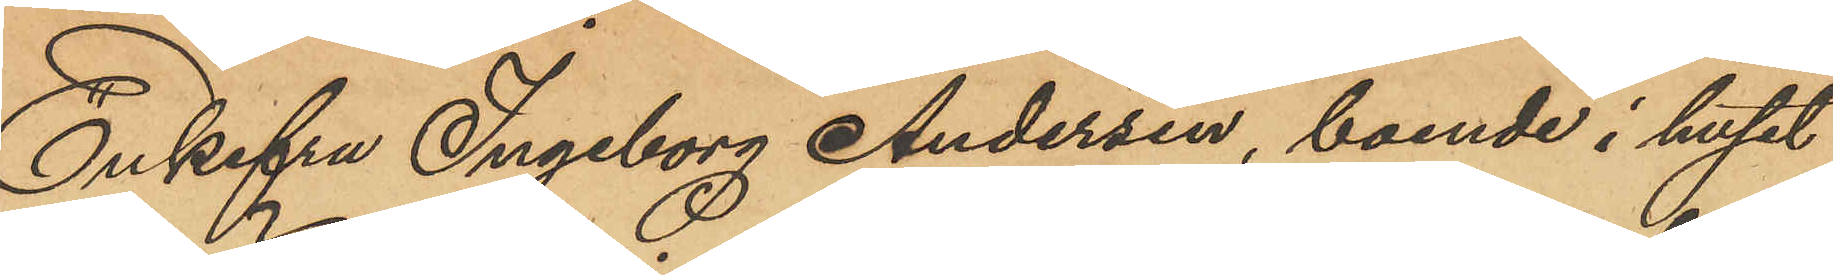Enkefru Ingeborg Andersén, boende i huset
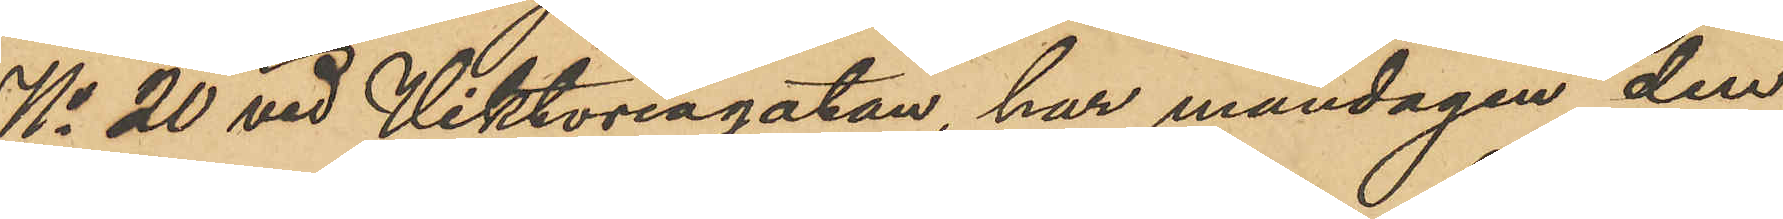No 20 vid Viktoriagatan, har måndagen den
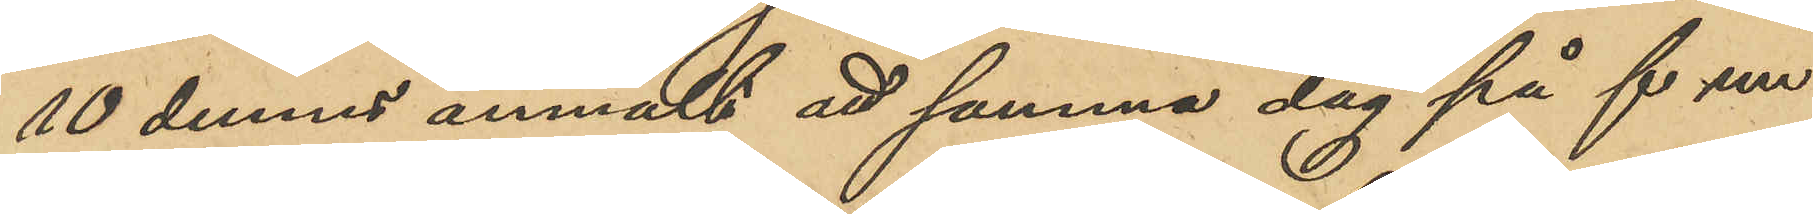10 dennes anmäldt att samma dag på f m 
